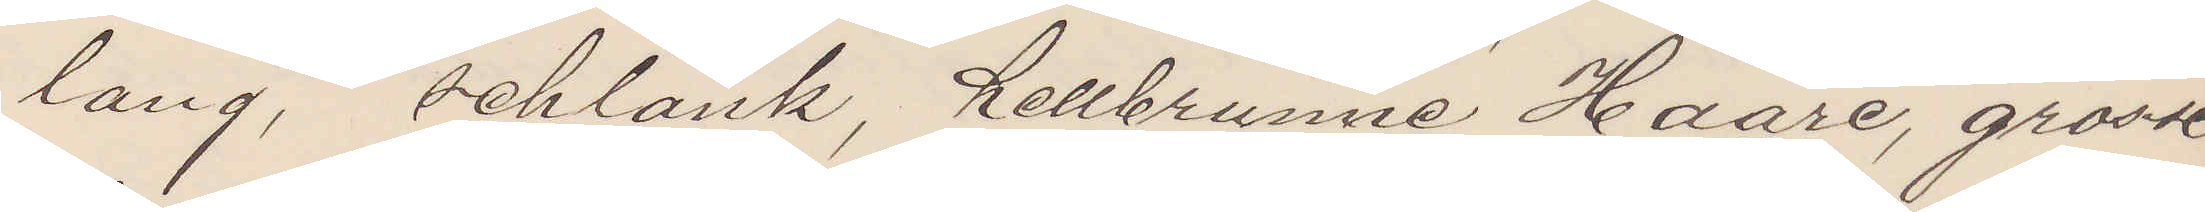lang, schlank, hellbrunne Haare, grosse
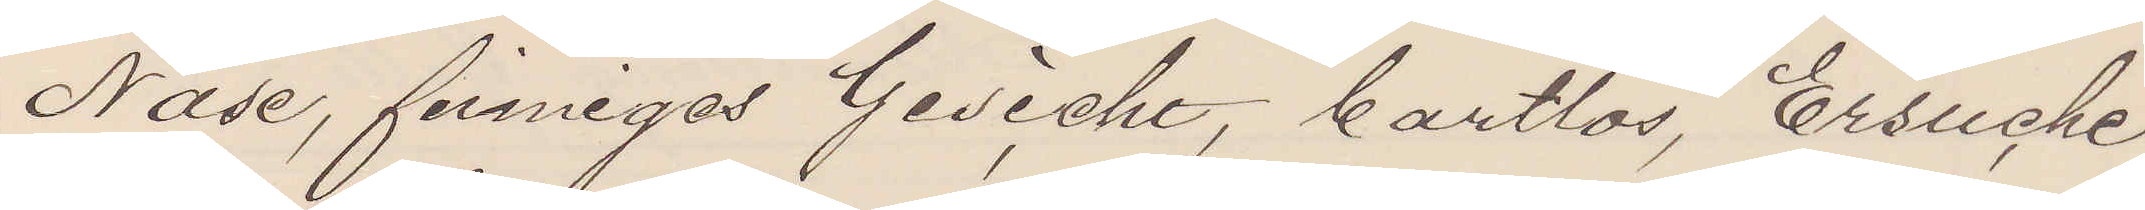Nase, finniges Gesicht, bartlos, Ersuche
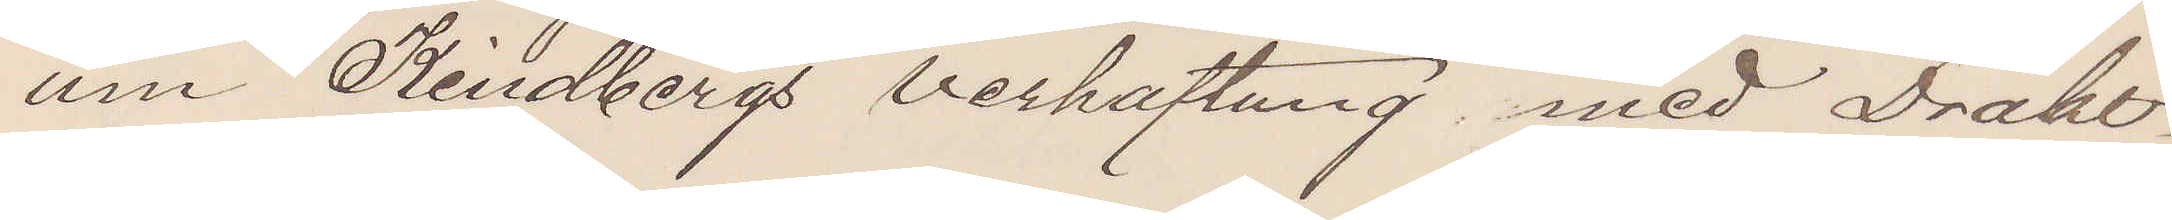um Kindbergs verhaftung med Draht¬
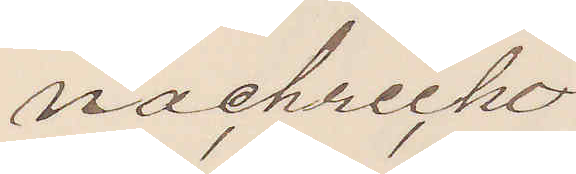nachreiche
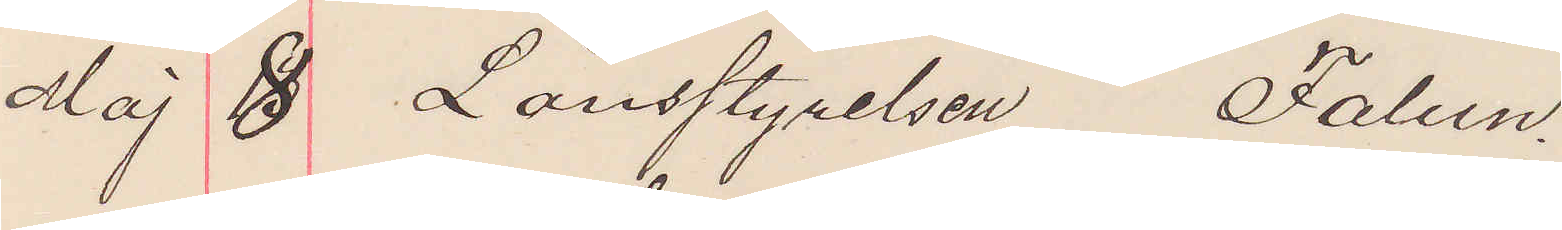Maj 8 Länsstyrelsen Falun.
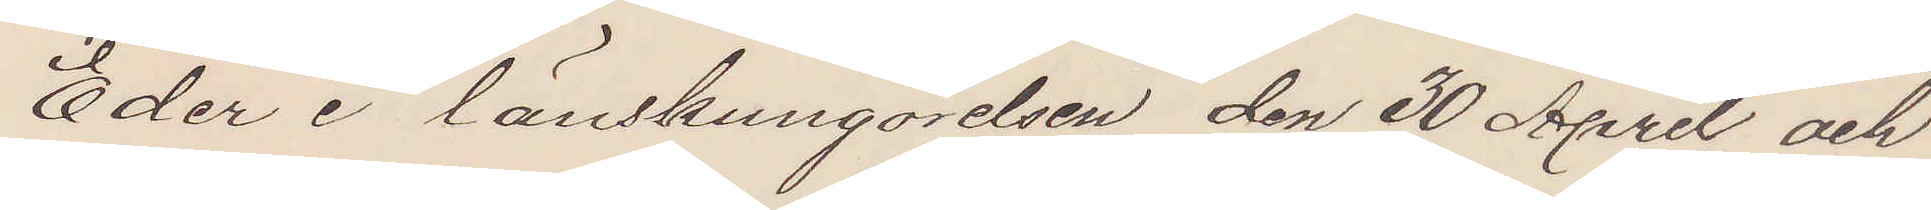Eder i länskungörelsen den 30 April och
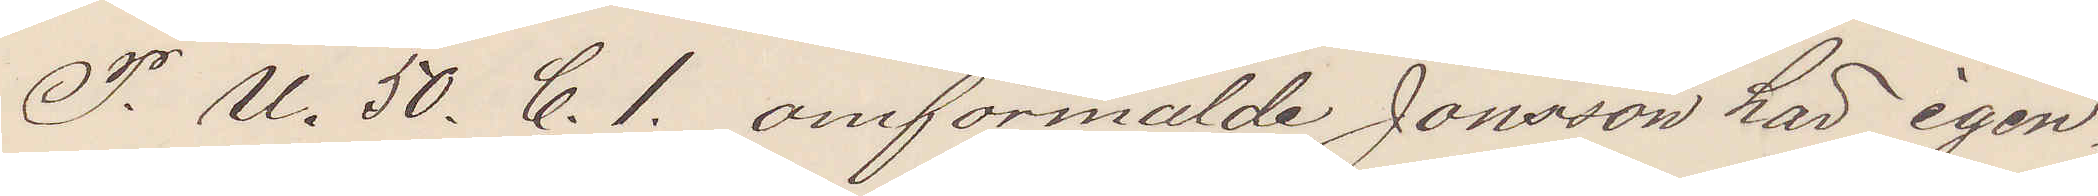P. U. 50. C. 1. omförmälde Jonsson här igen¬
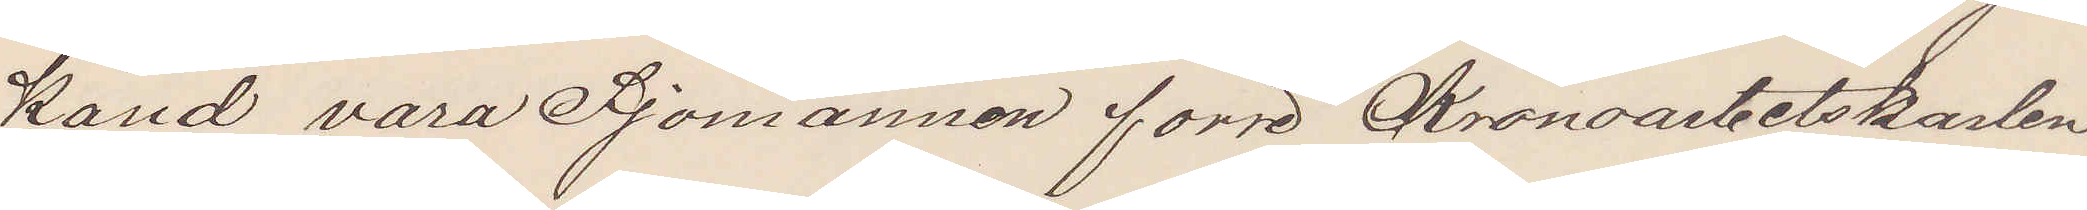känd vara Sjömannen förre Kronoarbetskarlen
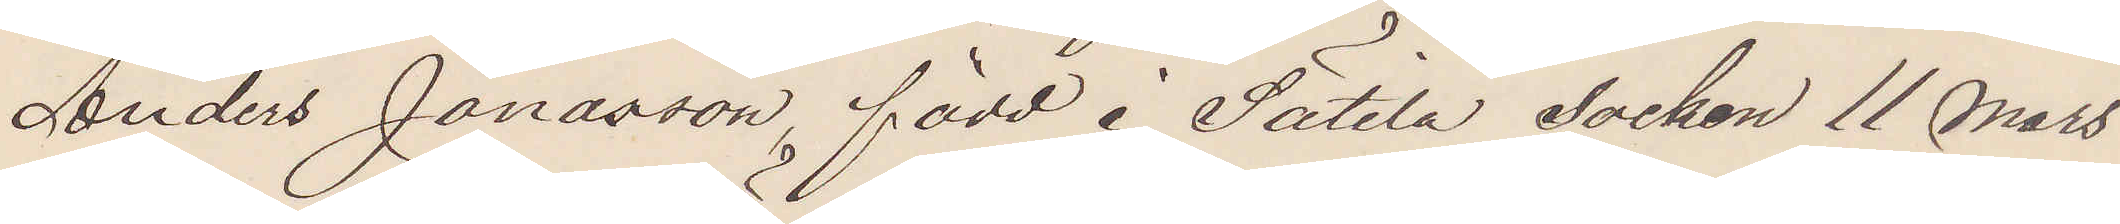Anders Jonasson, född i Sätila socken 11 Mars
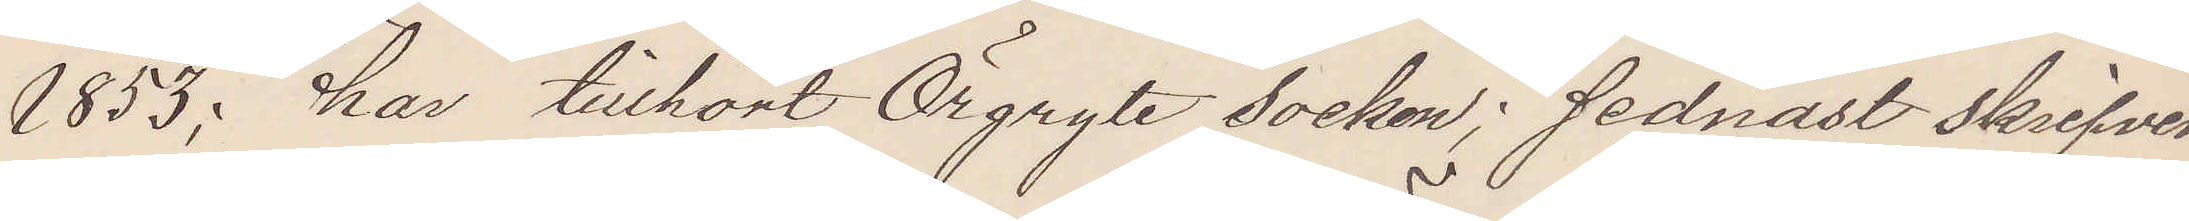1853; har tillhört Örgryte Socken; sednast skrifven
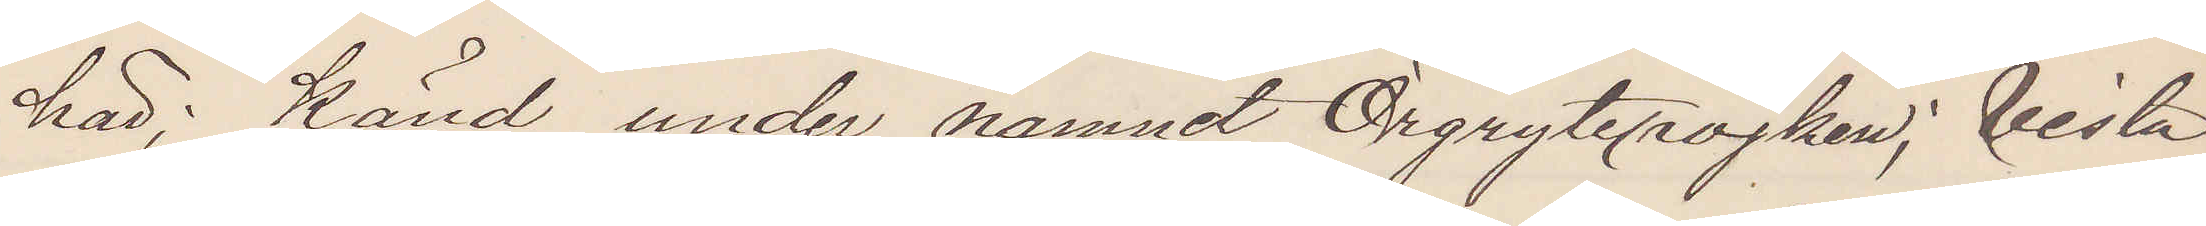här; Känd under namnet Örgrytepojken; Vista¬
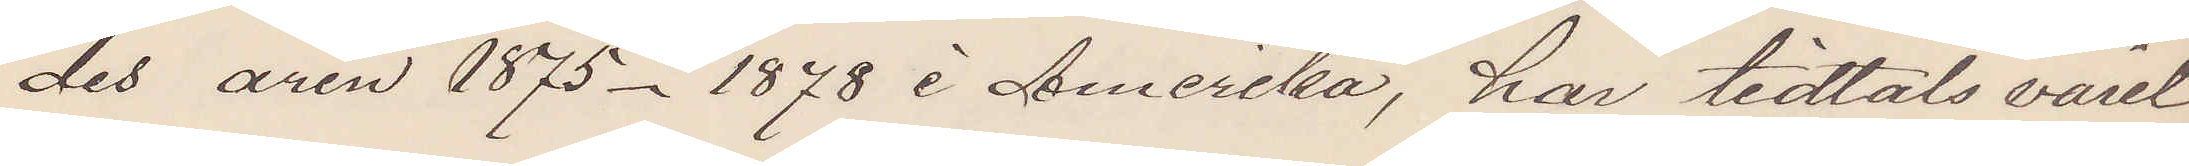des åren 1875-1878 i Amerika, har tidtals varit
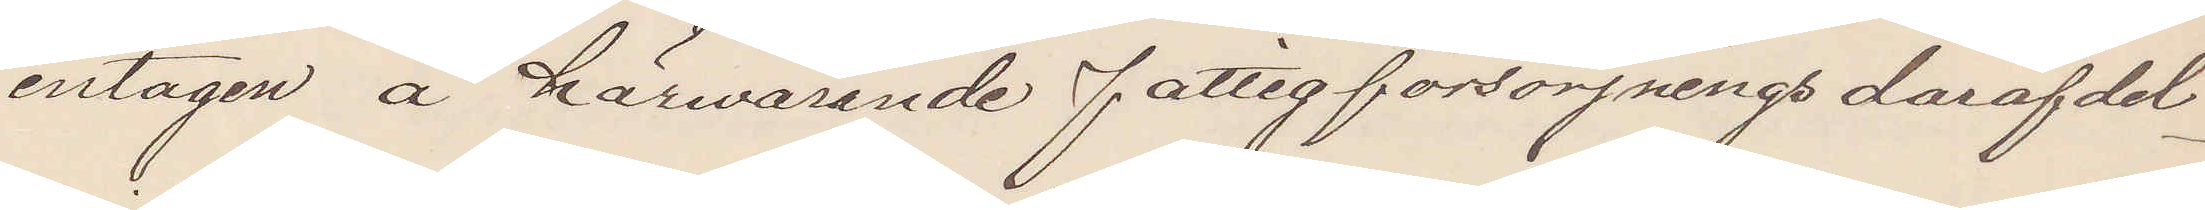intagen å härvarande fattigförsörjnings dårafdel¬
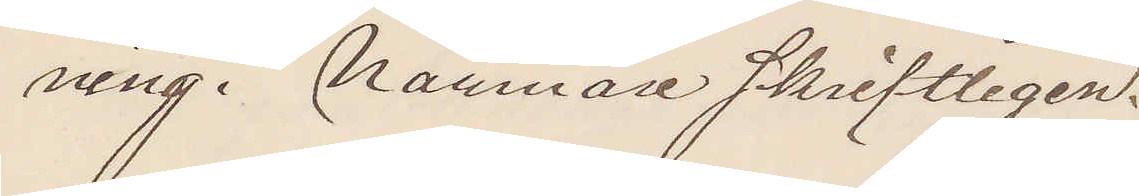ning. Närmare skriftligen.
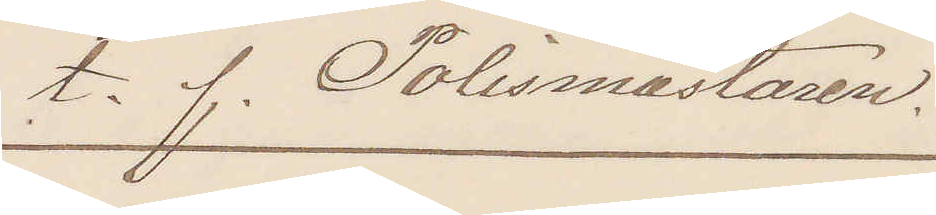t. f. Polismästaren.
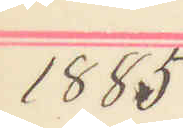1885
